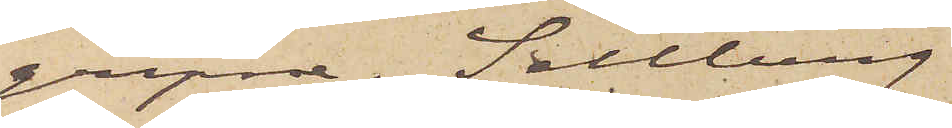gripne. Sellberg
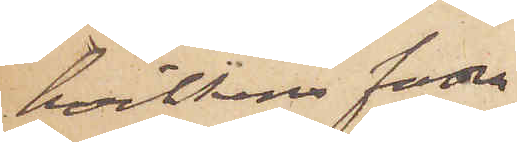hvilkens fader
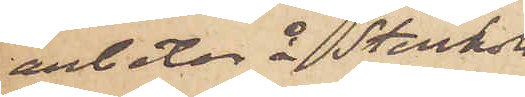arbetar å Stenholms
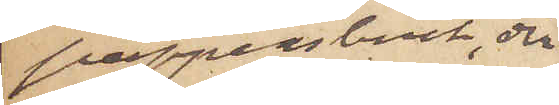pappersbruk, der
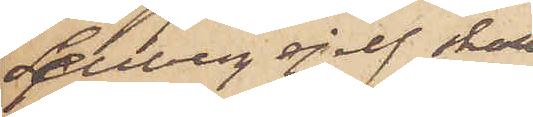Sellberg sjelf skall
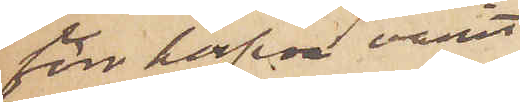förr hafva varit
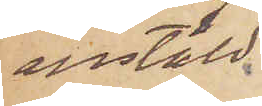anstäld,
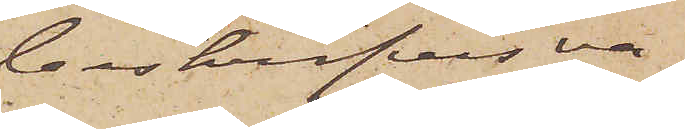beskrifves va¬
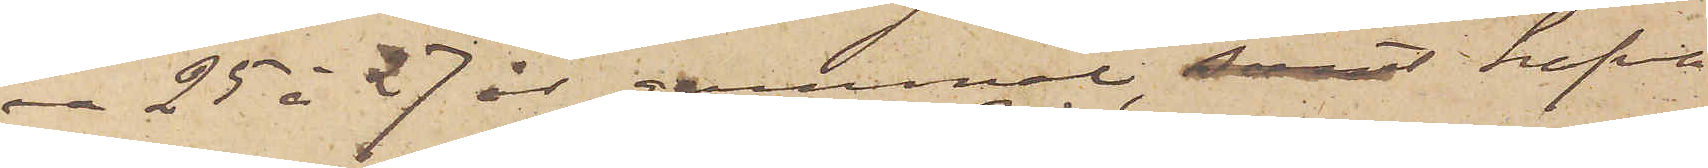a 25 à 27 år gammal samt hafva
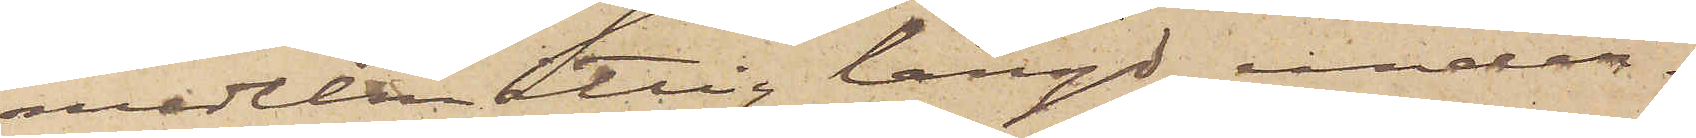medelmåttig längd, under¬
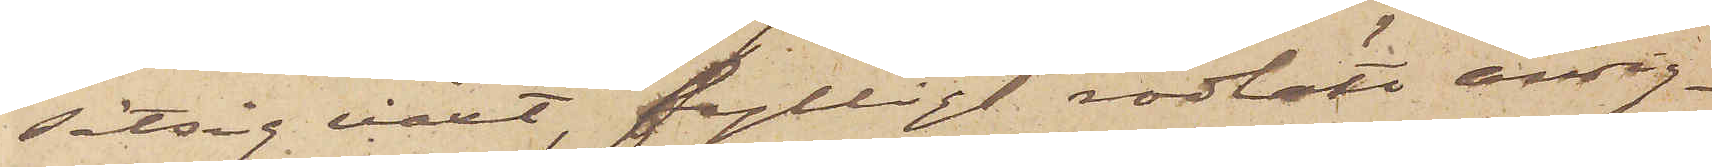sätsig växt, fylligt rödlätt ansig¬
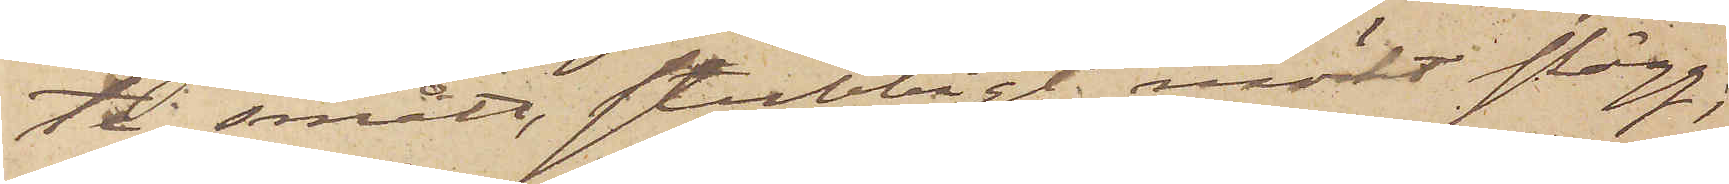te, smått, stubbigt mörkt skägg;
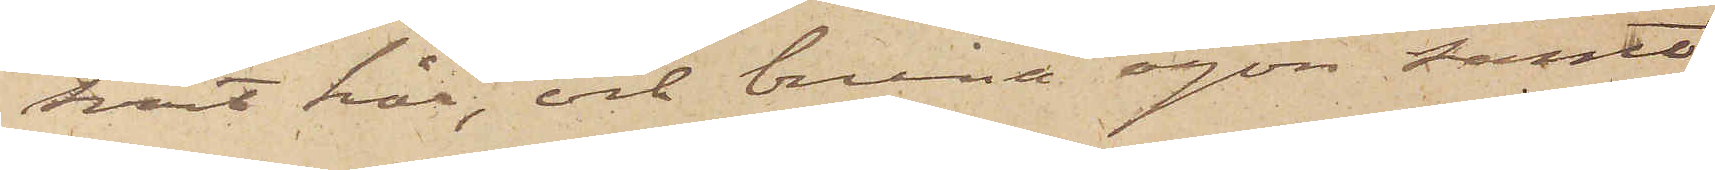svart hår, och bruna ögon samt
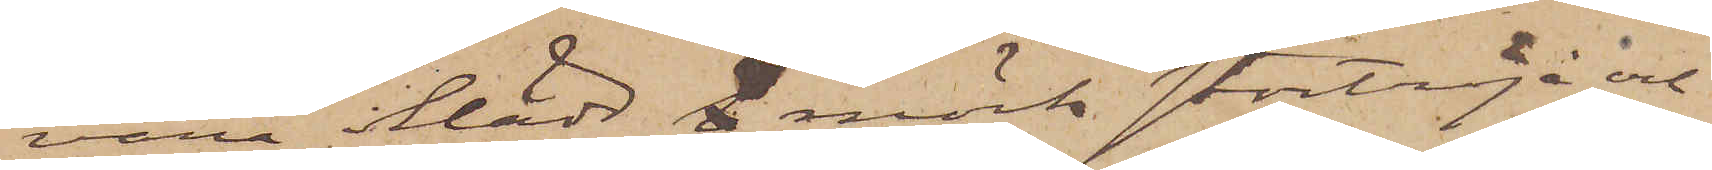vara iklädd s mörk stortröja och
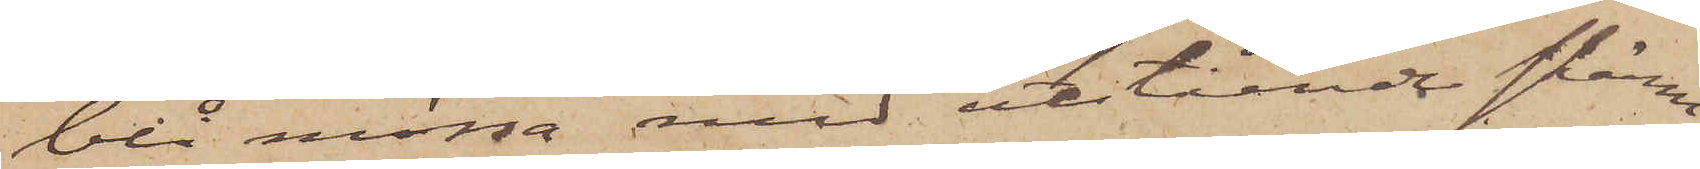blå mössa med utstående skärm.
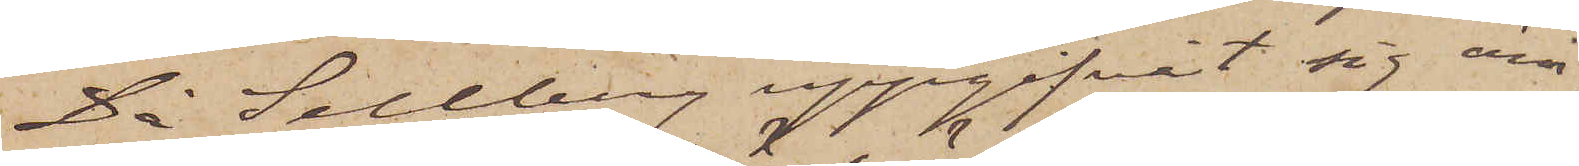Då Sellberg uppgifvit sig äm¬
